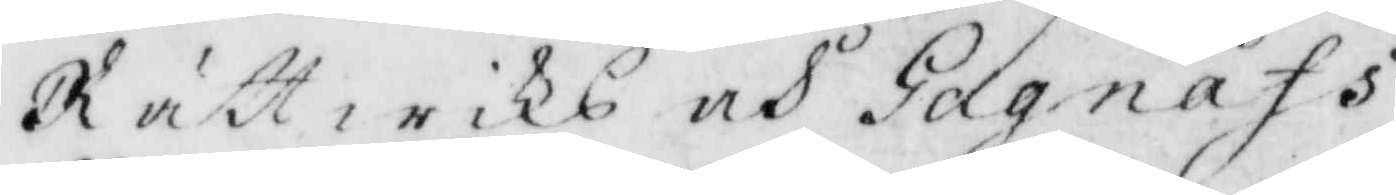Rättwiks och Gagnäfs
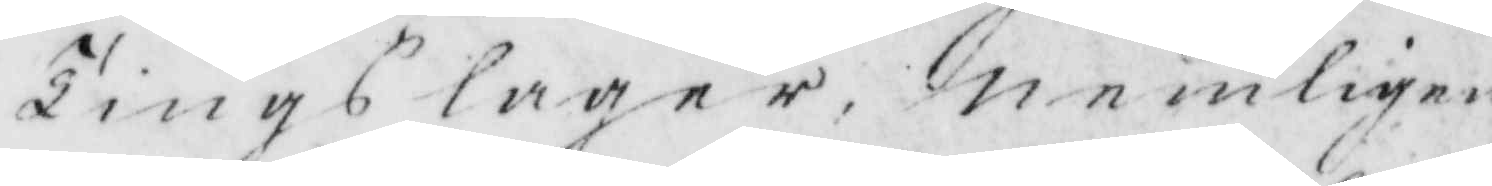Tingslagern nemligen
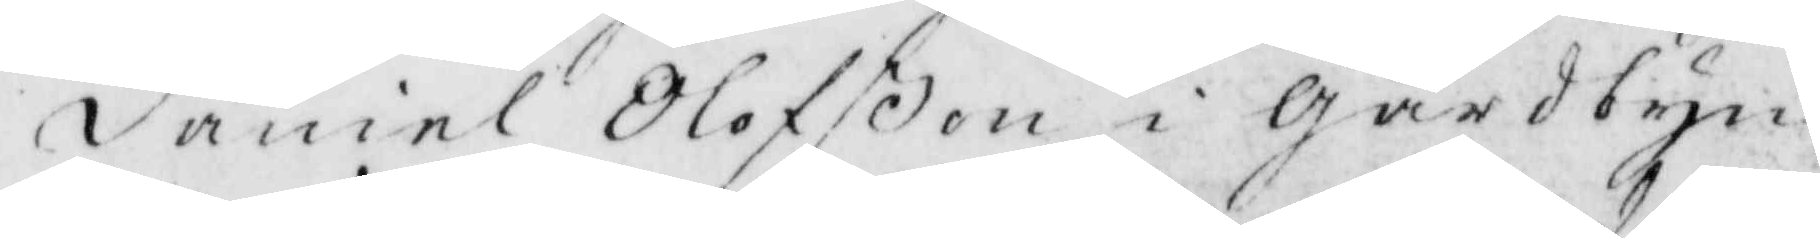Daniel Olofßon i gårdbyn,
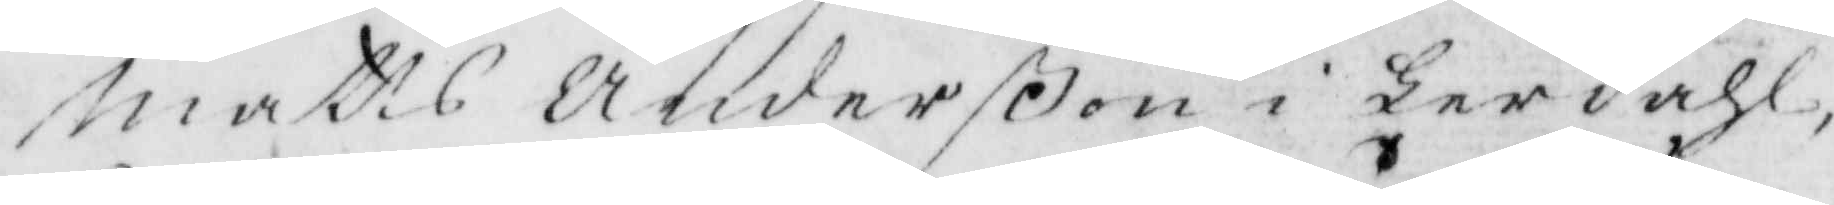Matts Anderßon i Herdahl,
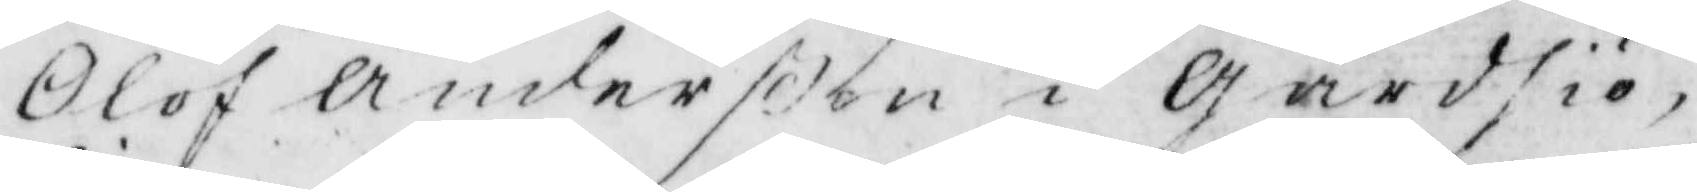Olof Anderßon i Gårdsjö,
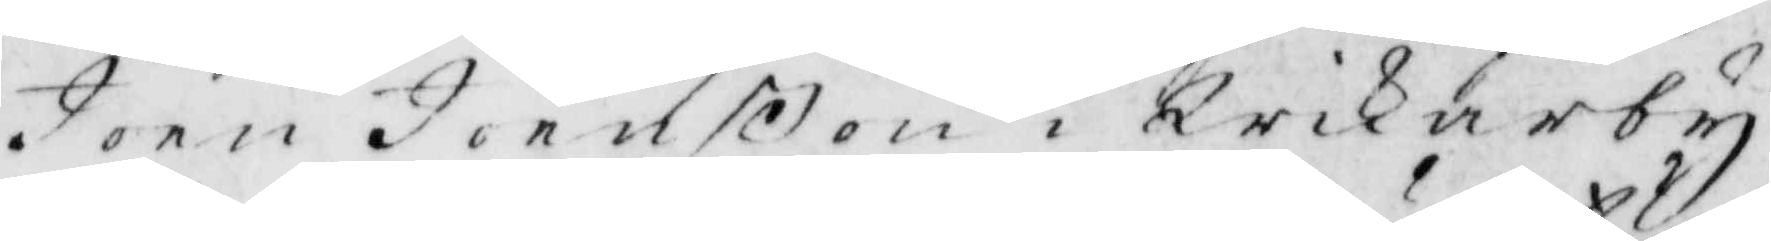Joen Joenßon i Qrikarby,
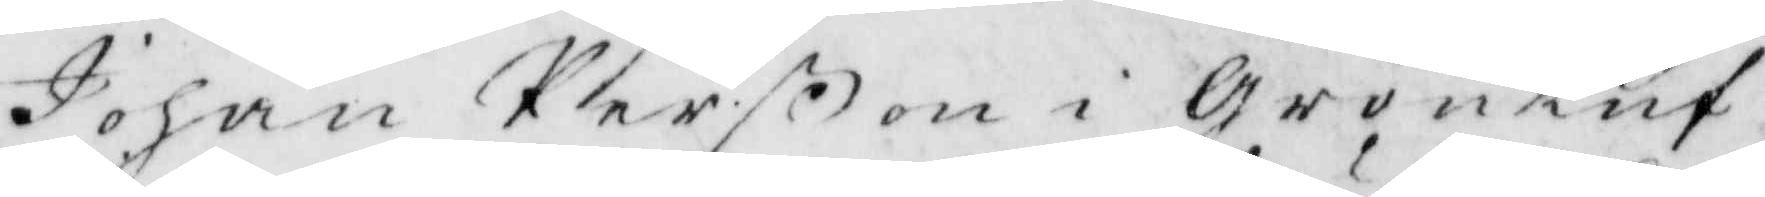Johan Perßon i Gröntuf,
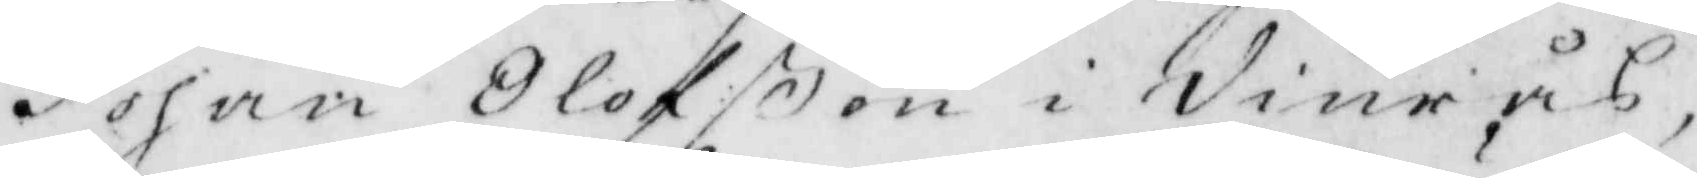Johan Olofßon i Vinrås,
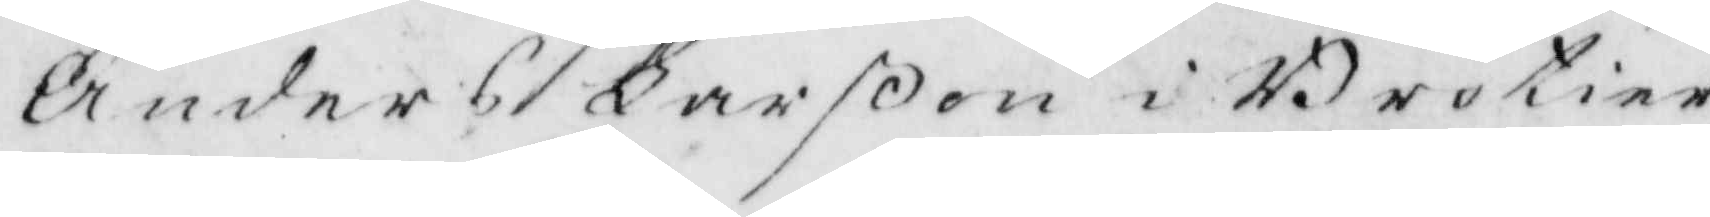Anders Larßon i Brötier¬
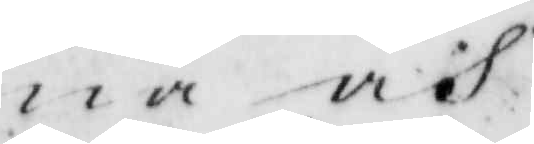na och
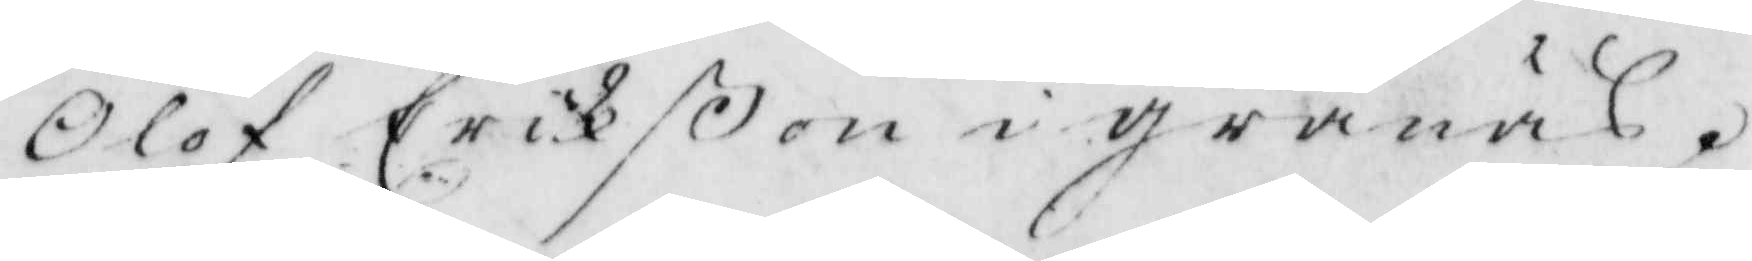Olof Erikßon i grånäs.
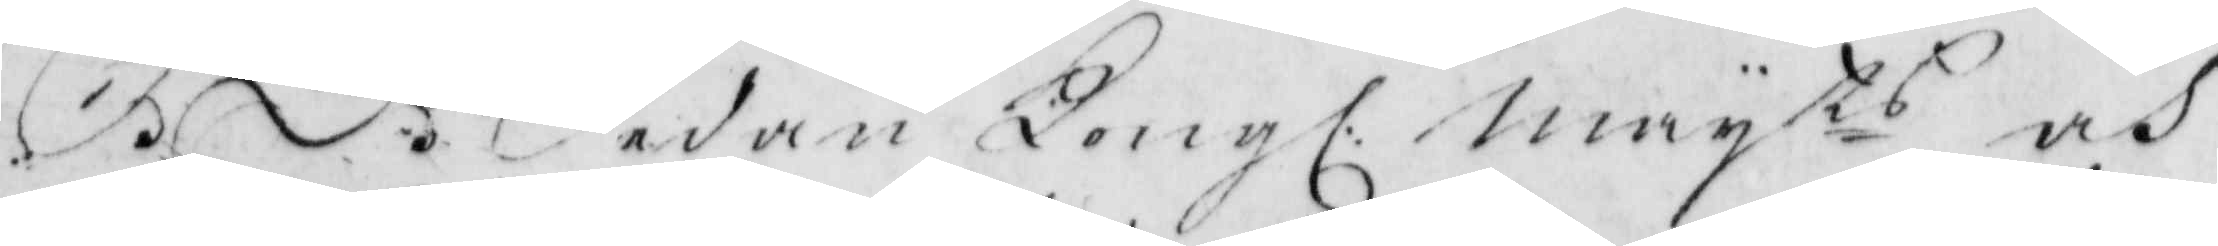S.D. Sedan Kongl. May.ts och
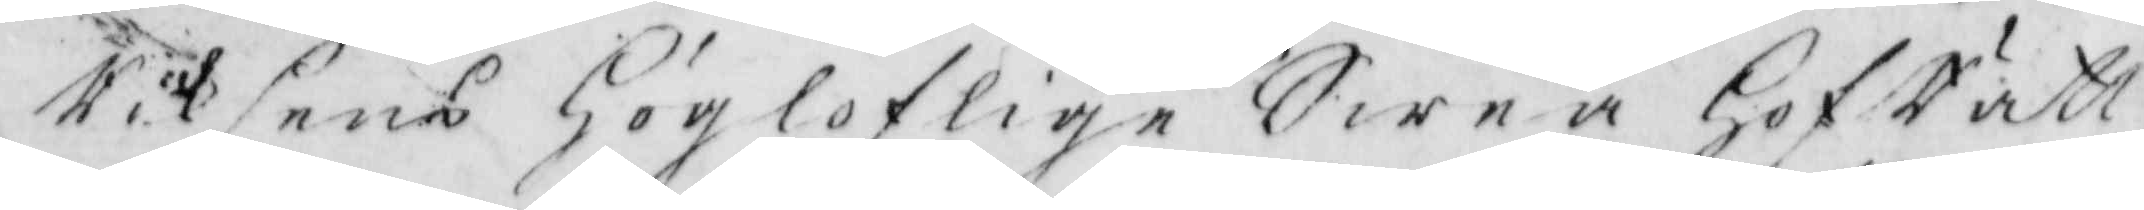Riksens Högloflige Swea HofRätt, 
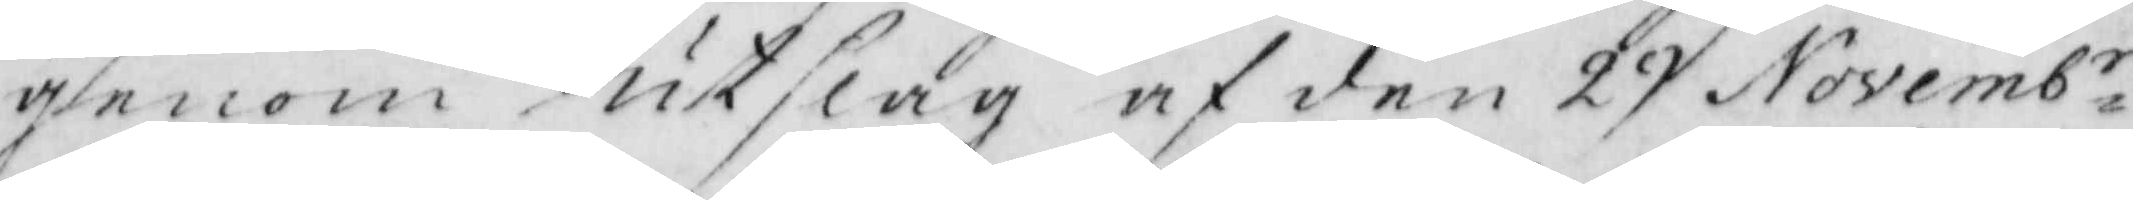genom utslag af den 29 Novemb.r
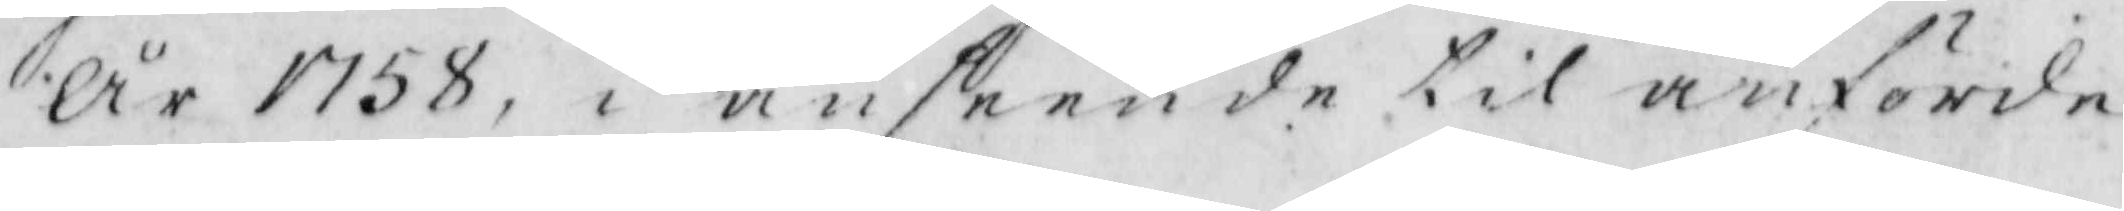år 1758, i anseende til anförde
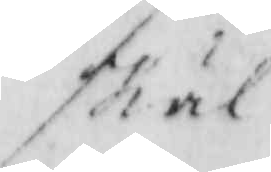skäl
